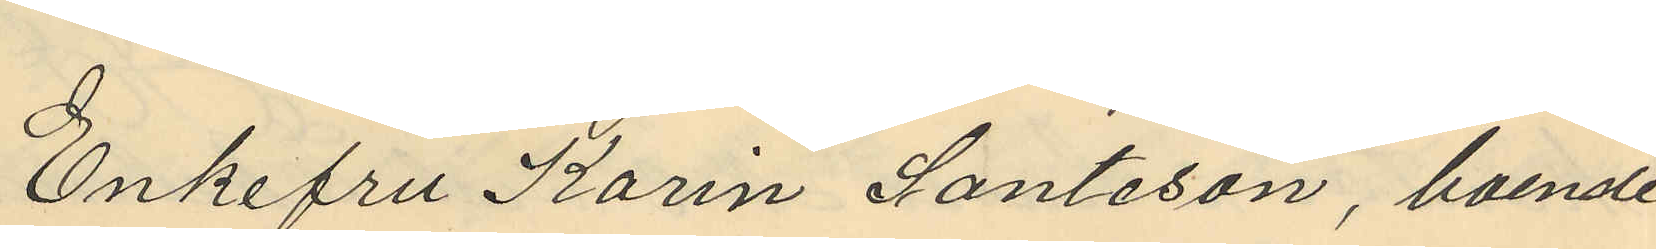Enkefru Karin Santeson, boende
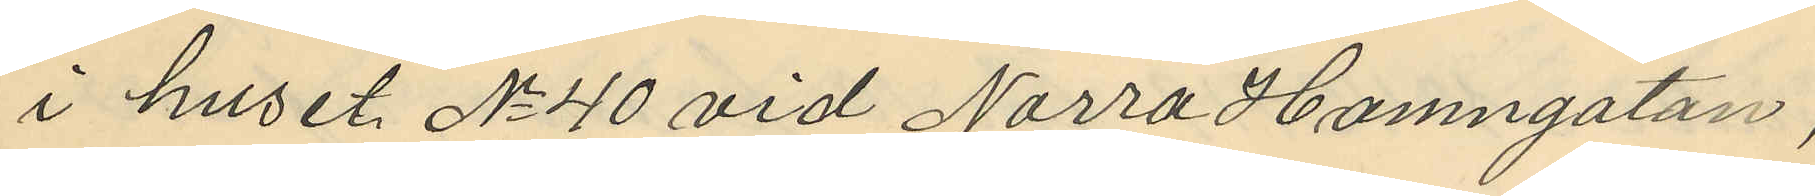i huset No 40 vid Norra Hamngatan,
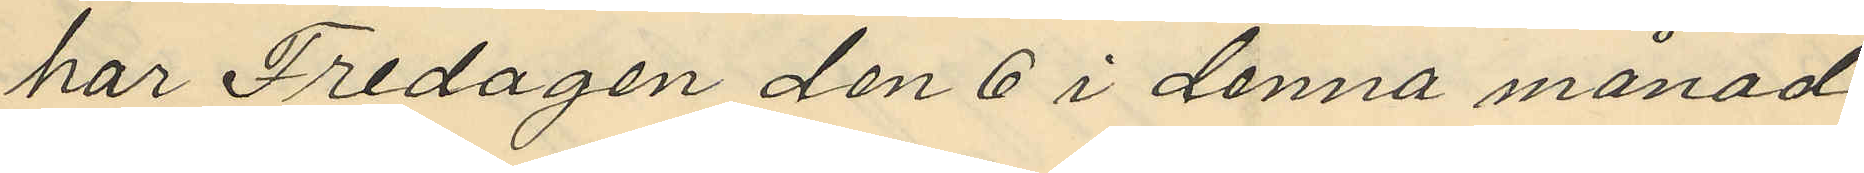har Fredagen den 6 i denna månad
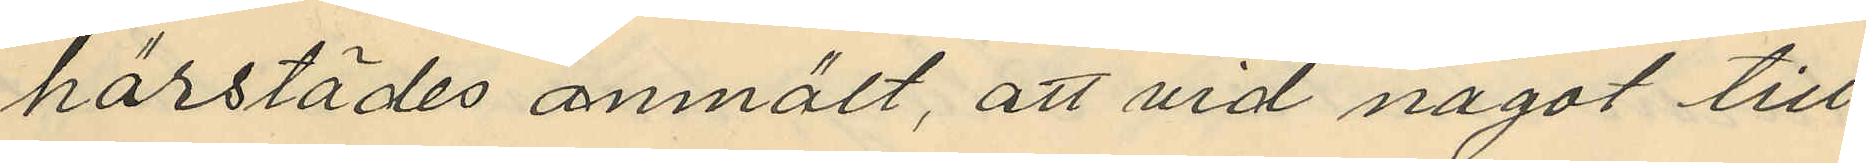härstädes anmält, att vid något till¬
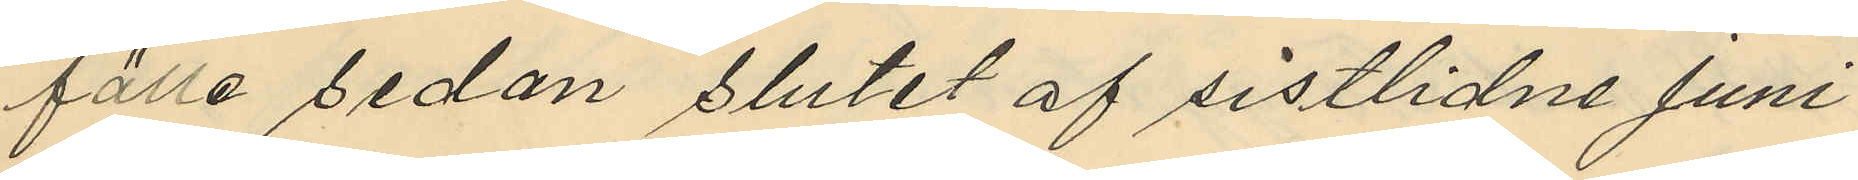fälle sedan slutet af sistlidne Juni
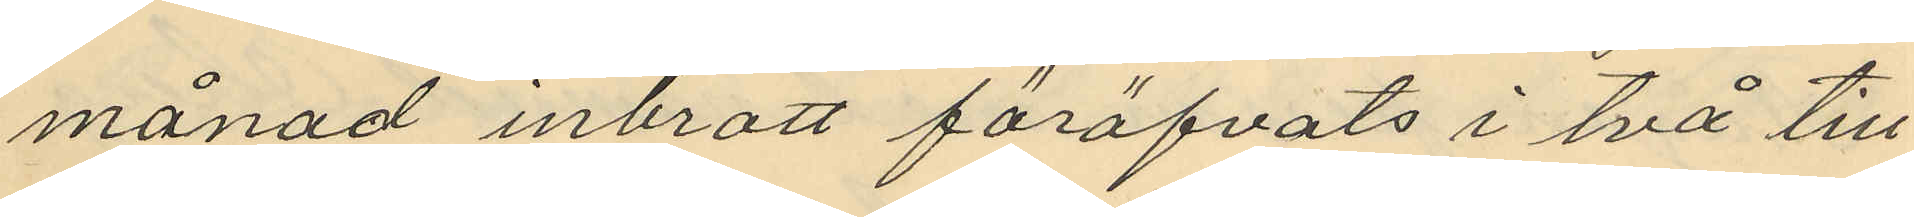månad inbrott föröfvats i två till
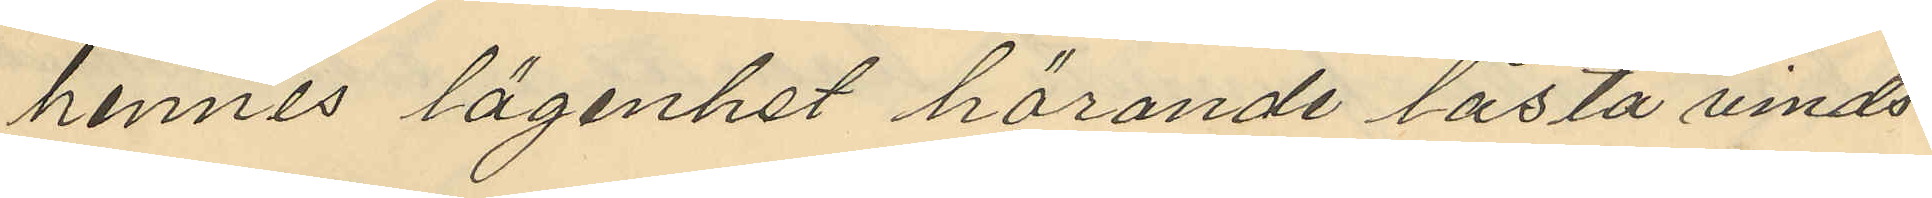hennes lägenhet hörande låsta vinds¬
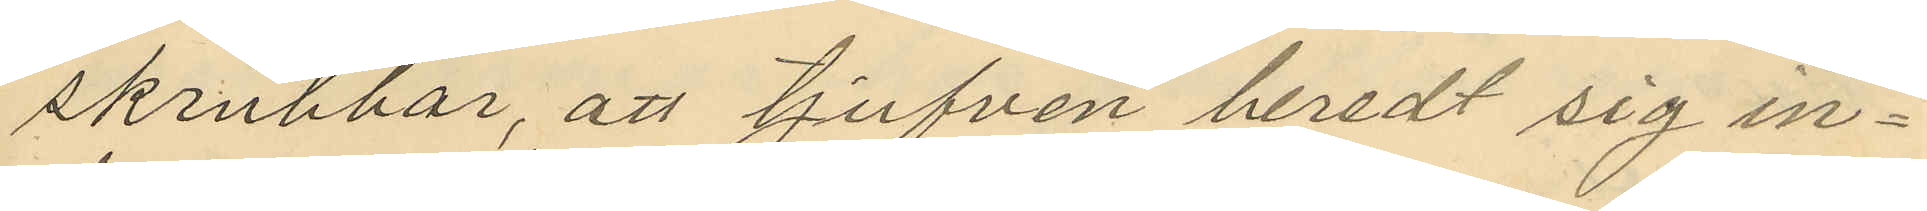skrubbar, att tjufven beredt sig in¬
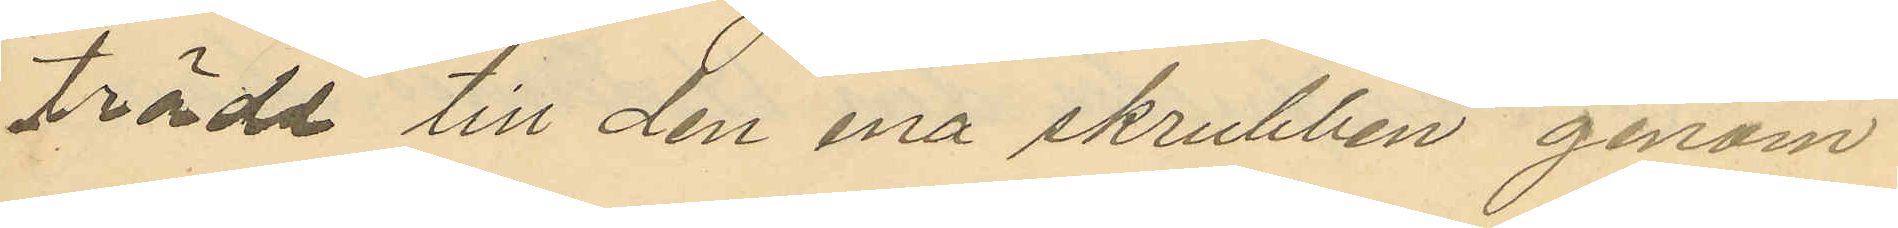träde till den ena skrubben genom
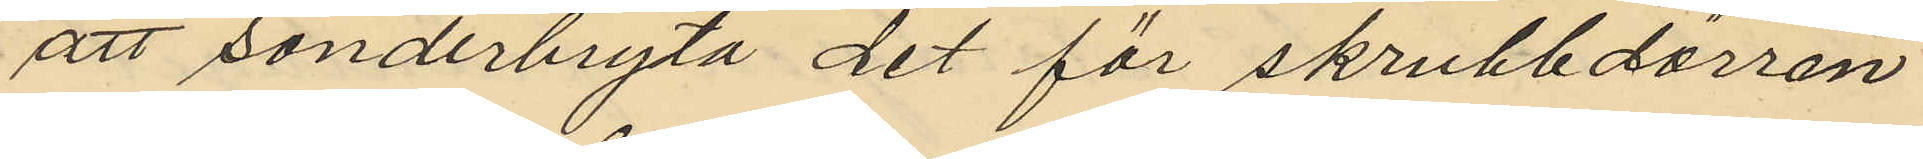att sönderbryta det för skrubbdörren
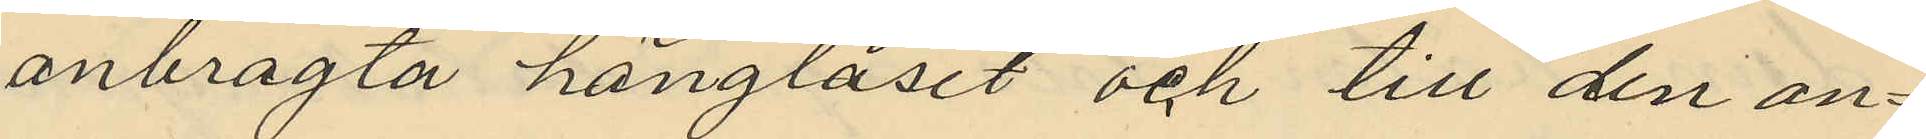anbragta hänglåset och till den an¬
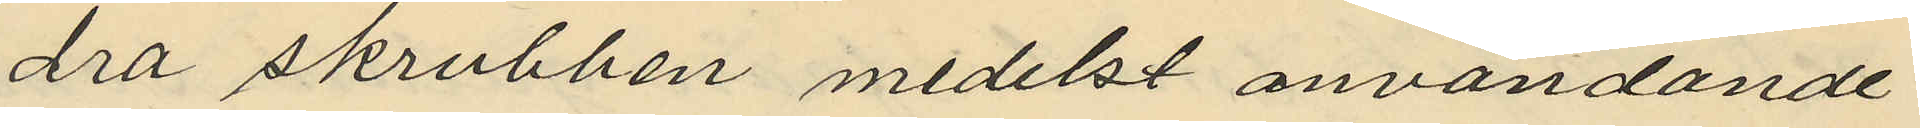dra skrubben medelst användande
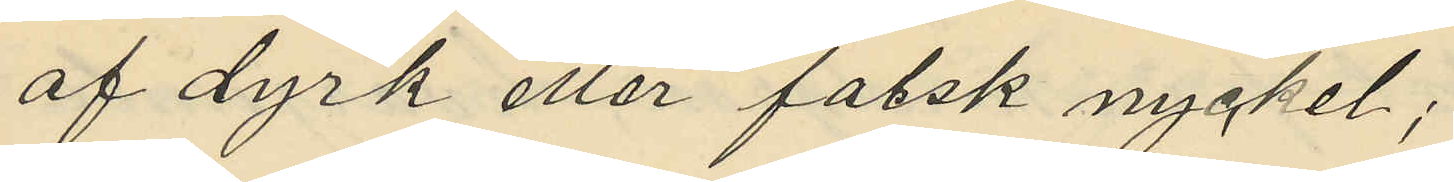af dyrk eller falsk nyckel;
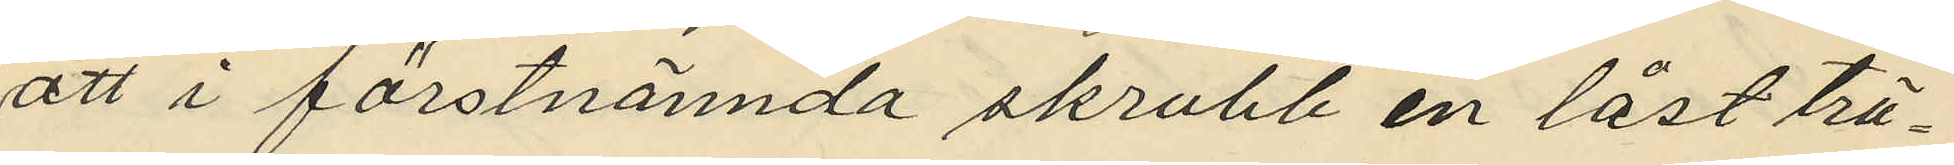att i förstnämnda skrubb en låst trä¬
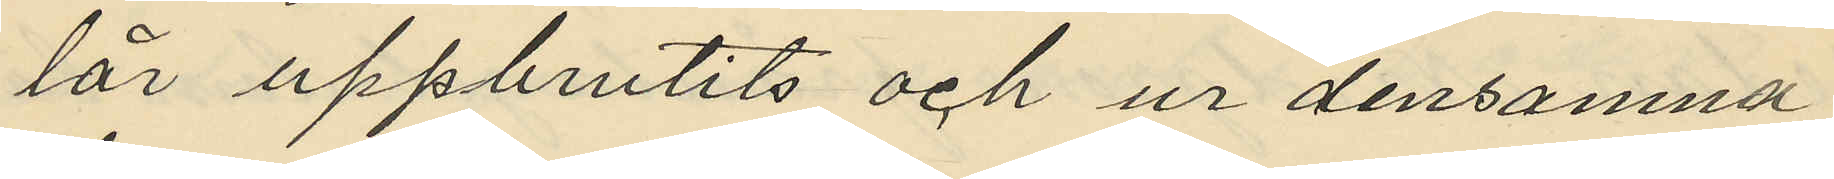lår uppbrutits och ur densamna
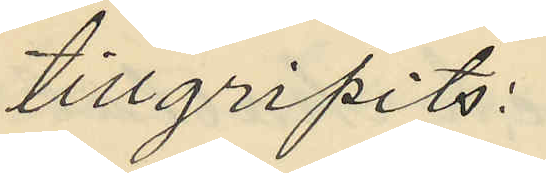tillgripits:
